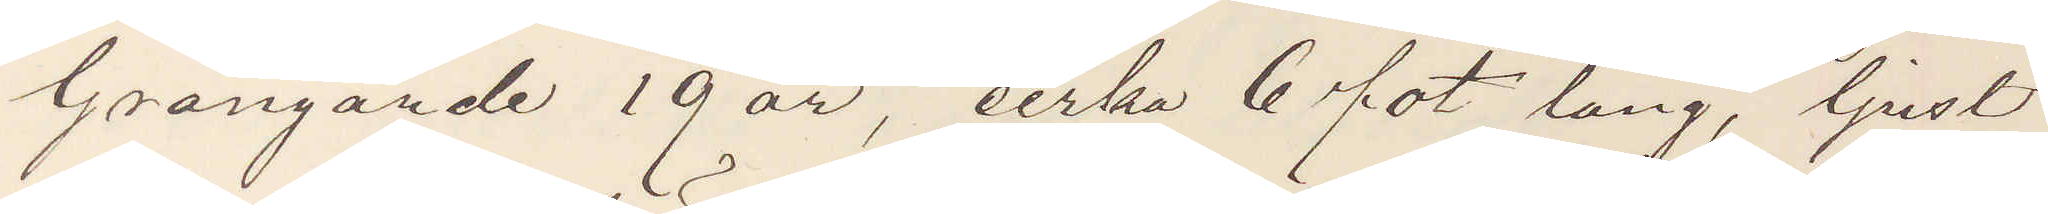Grangärde 19 år, cirka 6 fot lång, ljust
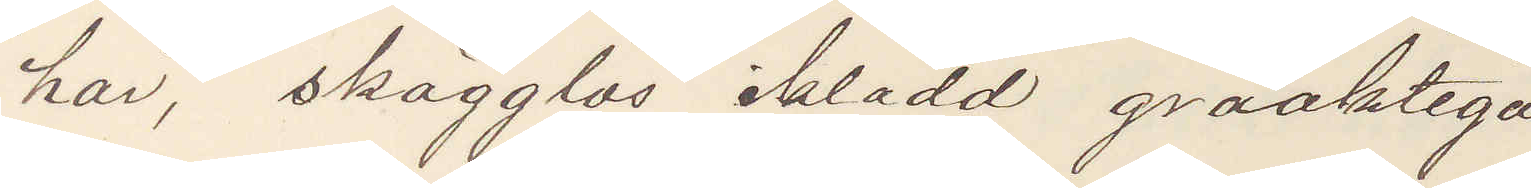hår, skägglös iklädd gråaktiga
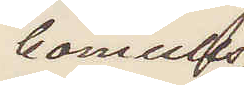bomulls¬
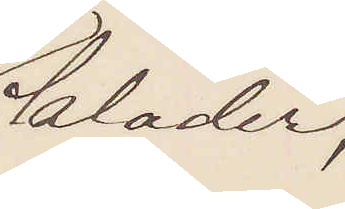kläder,
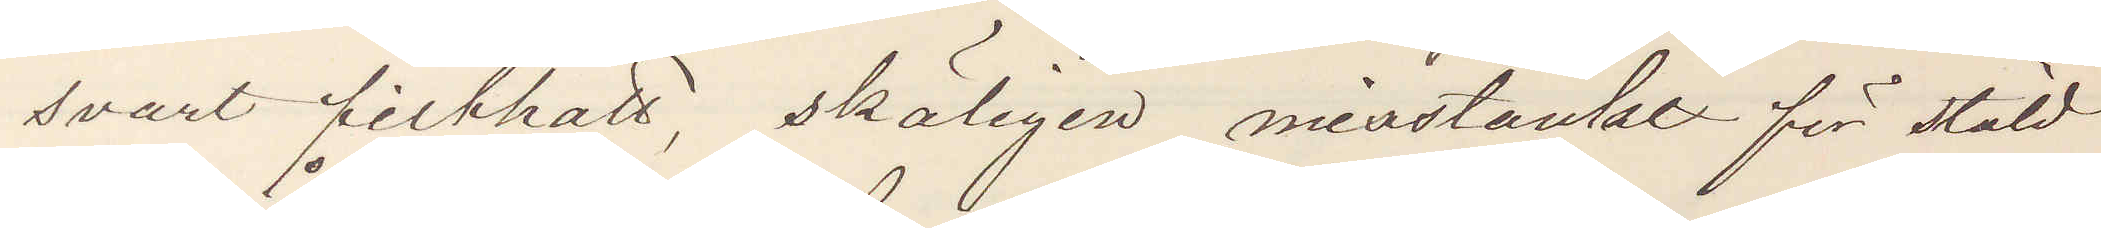svart filthatt, skäligen misstänkt för stöld
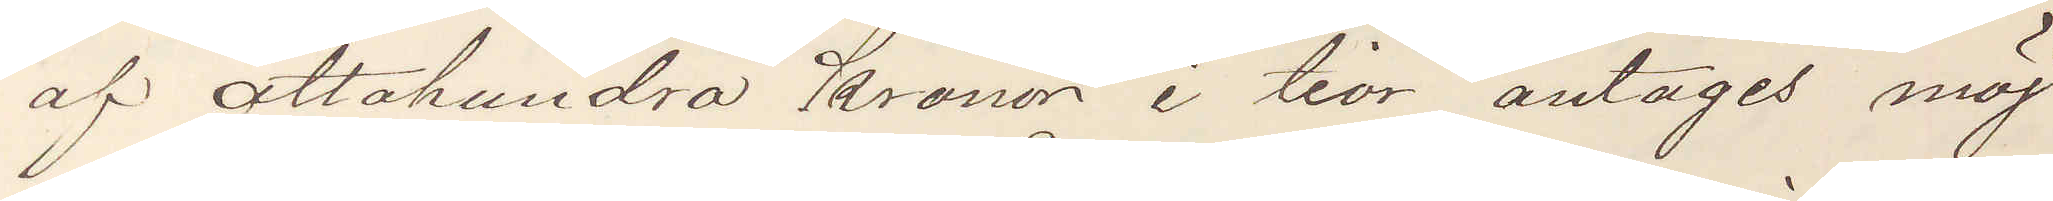af åttahundra Kronor i tior antages möj¬
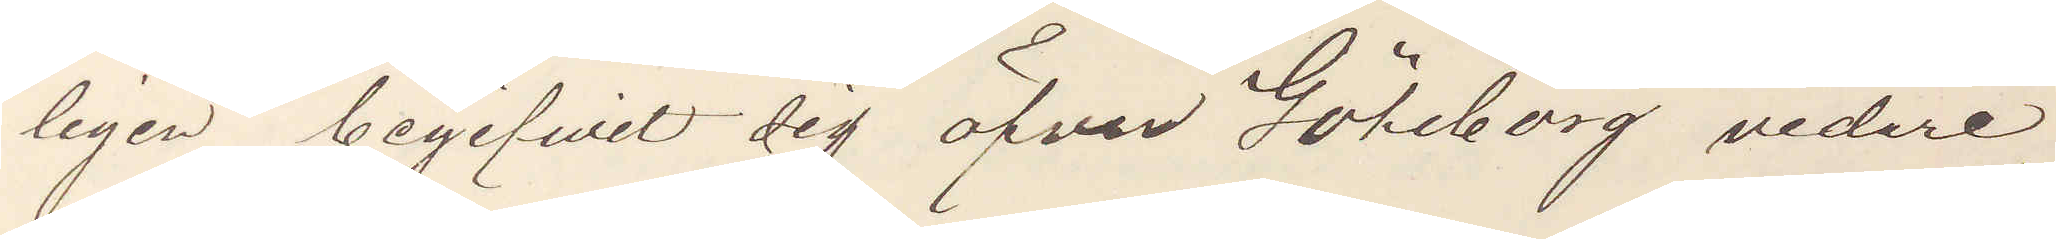ligen begifvit sig öfver Göteborg vidare
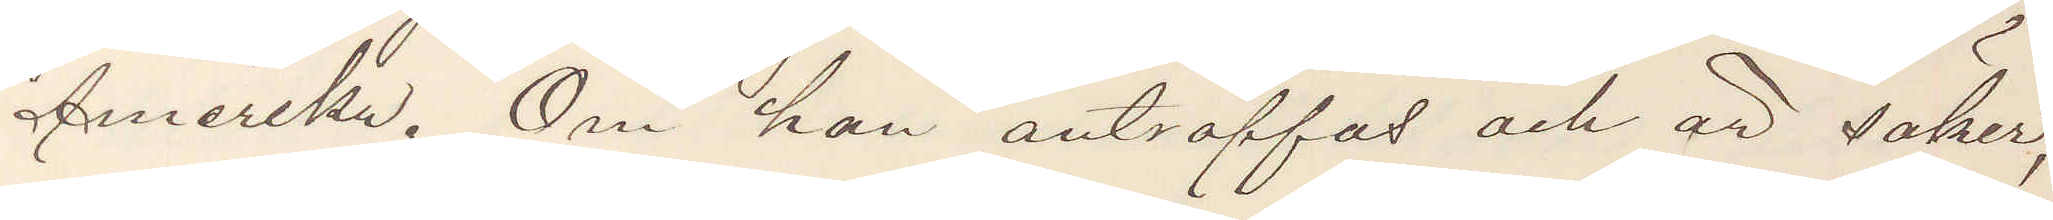Amerika. Om han anträffas och är säker,
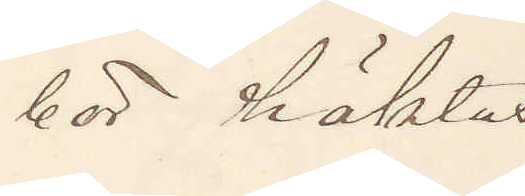bör häktas.
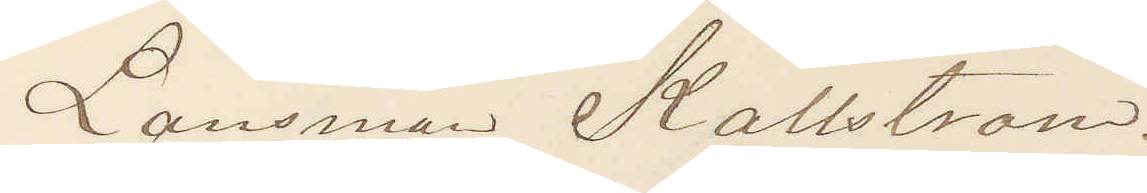Länsman Källström.
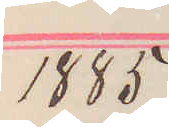1885
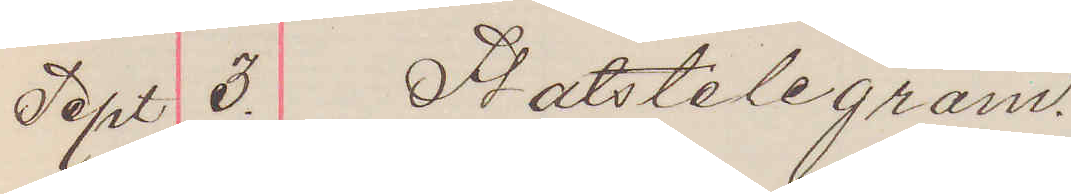Sept 3. Statstelegram.
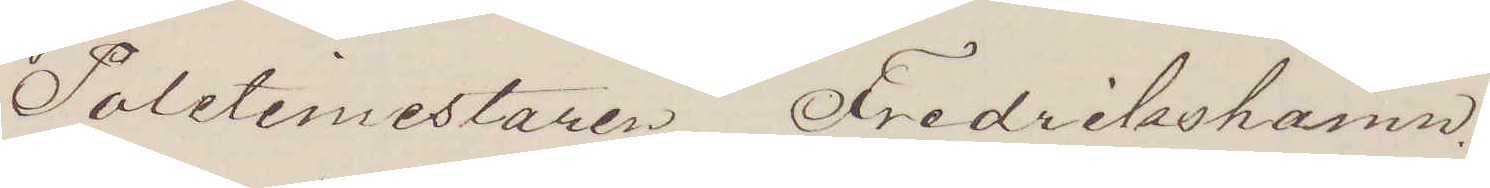Politimesteren Fredrikshamn.
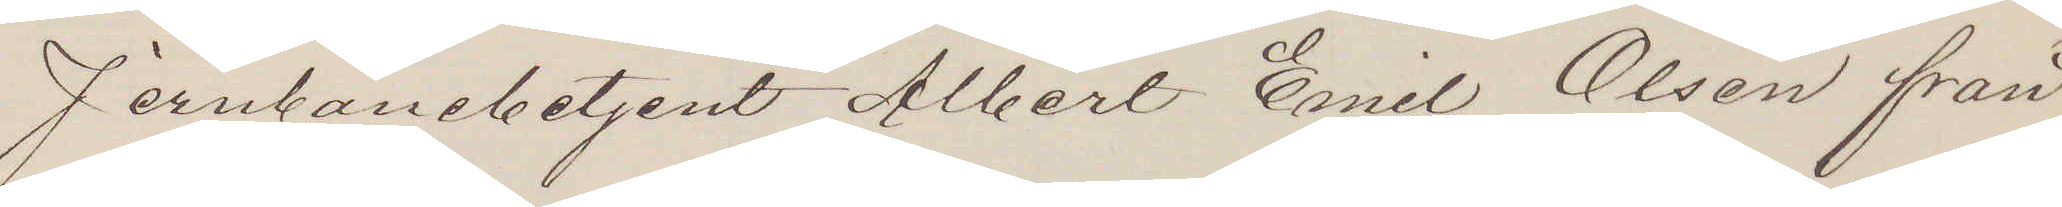Jernbanebetjent Albert Emil Olsen från
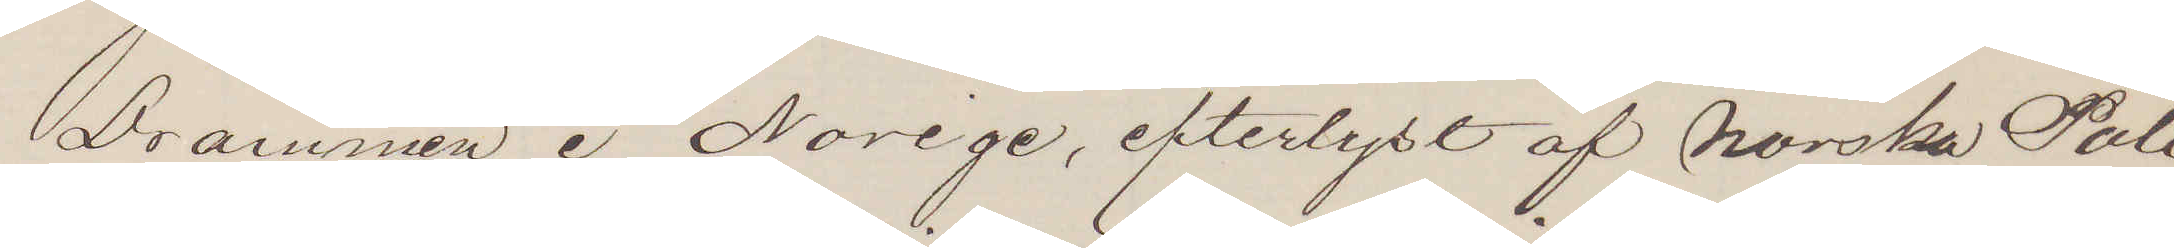Drammen i Norige, efterlyst af Norska Poli¬
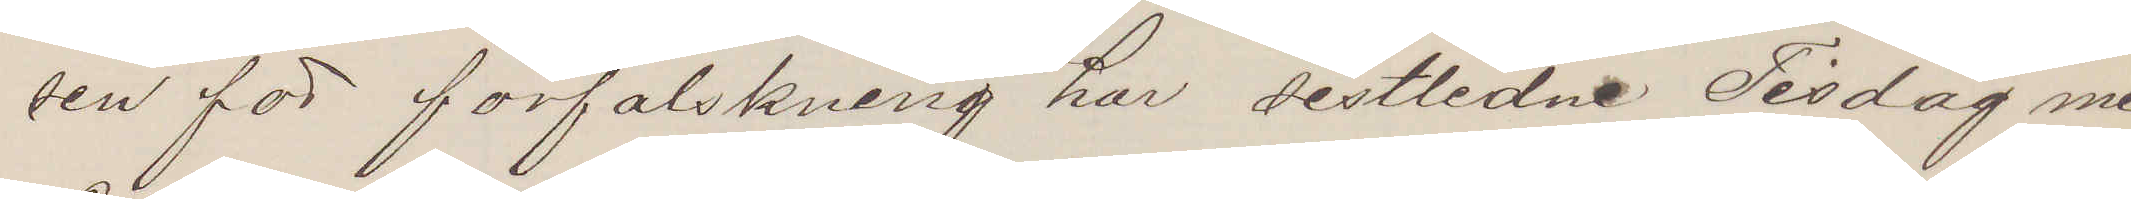sen för förfalskning har sistlidne Tisdag med
